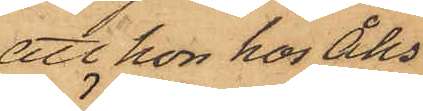att hon hos Åhs¬
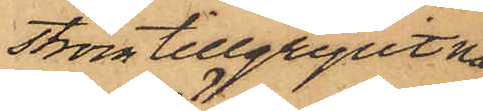ström tillgripit nå¬
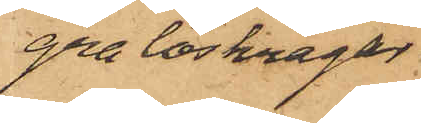gra löskragar.
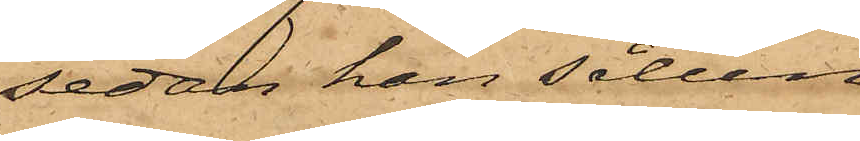sedan han sålun¬
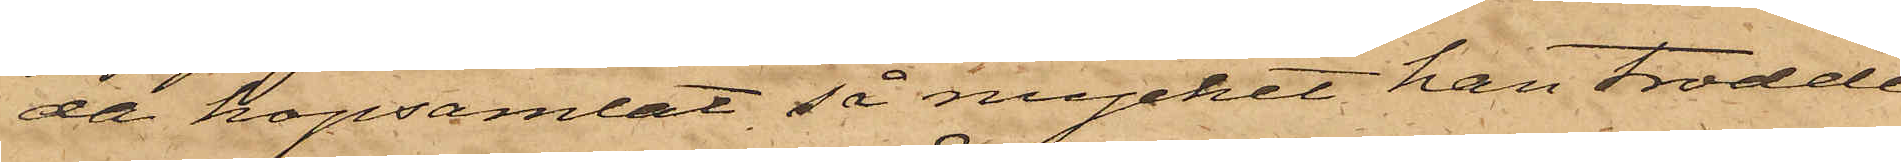da hopsamlat så mycket han trodde
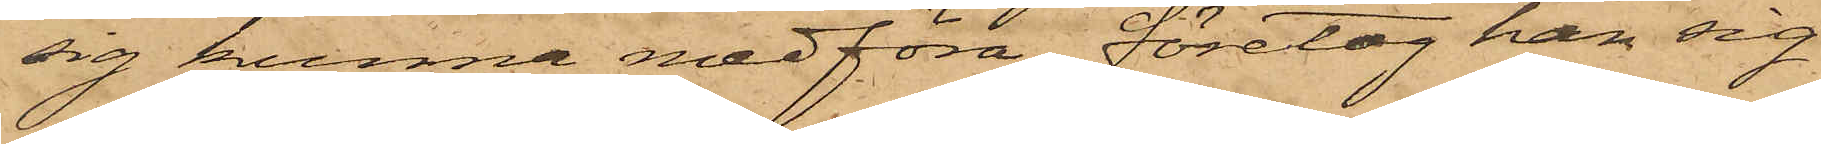sig kunna medföra, företog han sig
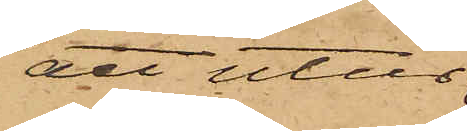att utur
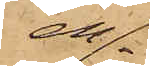en
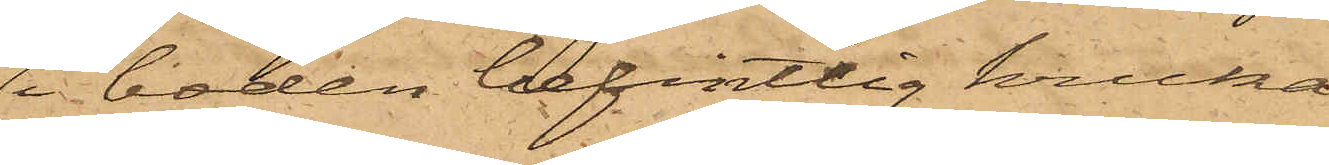i boden befintlig kruka
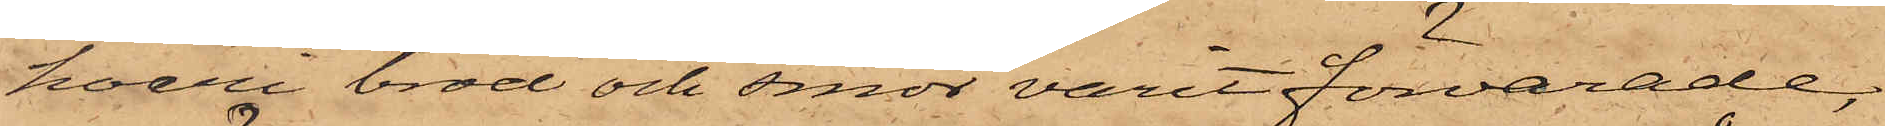hvari bröd och smör varit förvarade,
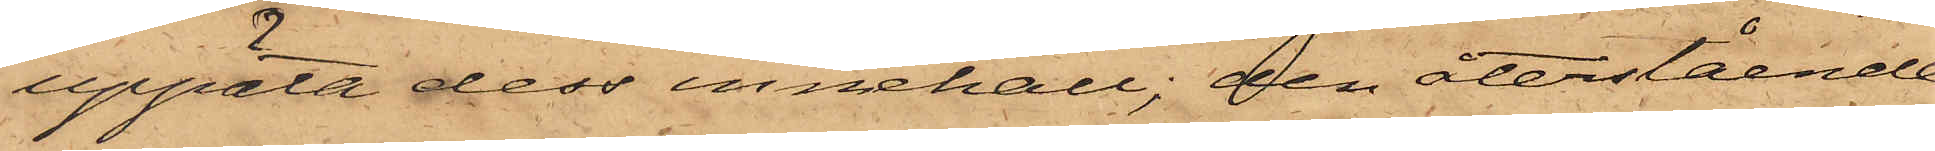uppäta dess innehåll; den återstående
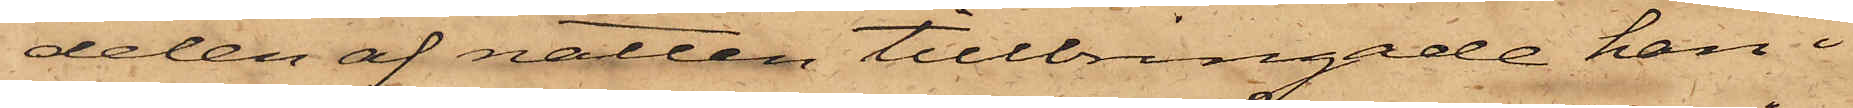delen af natten tillbringade han i
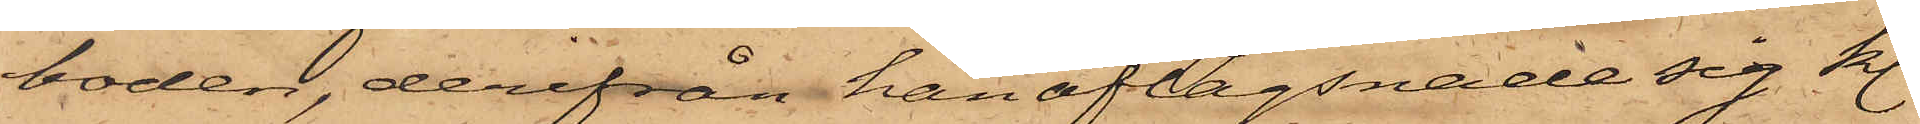boden, derifrån han aflägsnade sig kl.
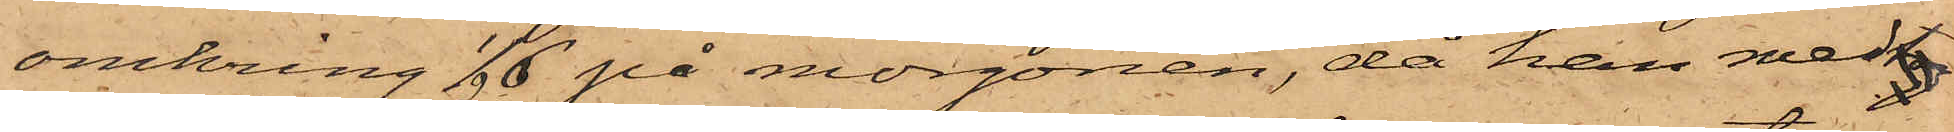omkring 1/2 6 på morgonen, då han med
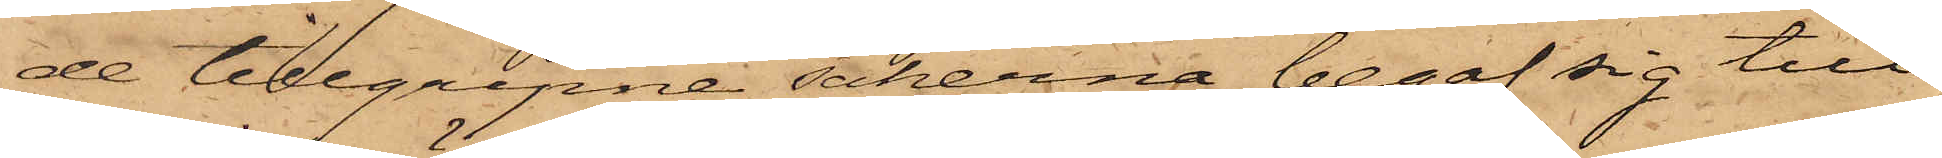de tillgripne sakerna begaf sig till
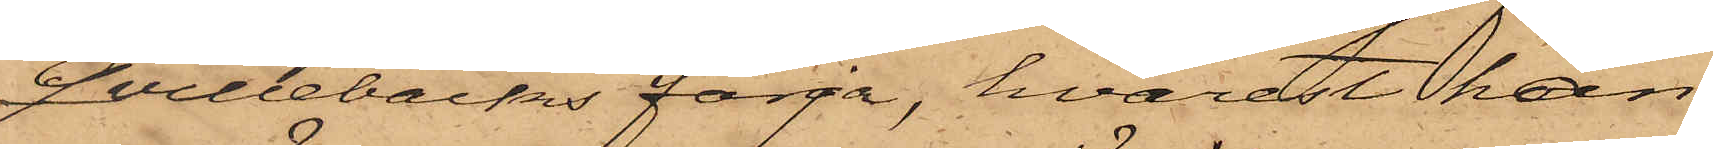Qvillebäcks färja, hvarest han
